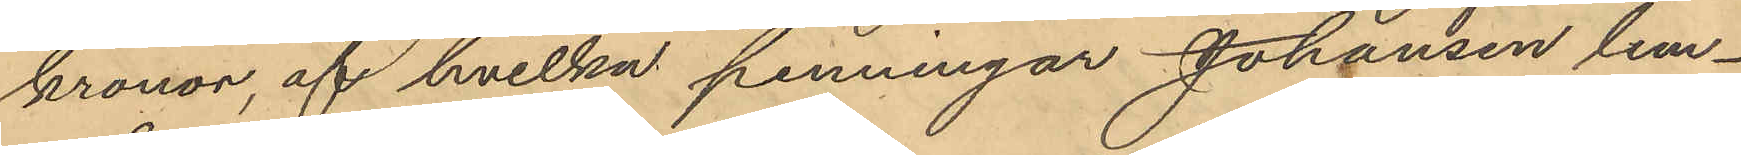kronor, af hvilka penningar Johansen lem¬
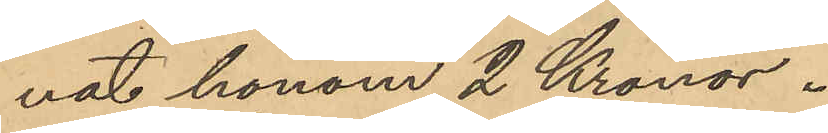nat honom 2 Kronor.
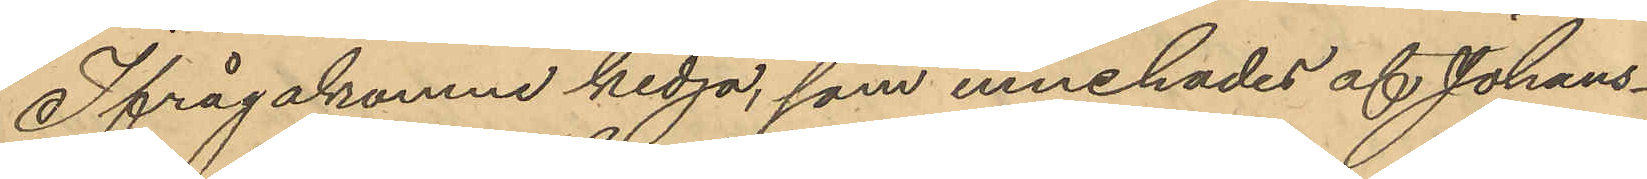Ifrågakomne kedja, som innehades af Johans¬
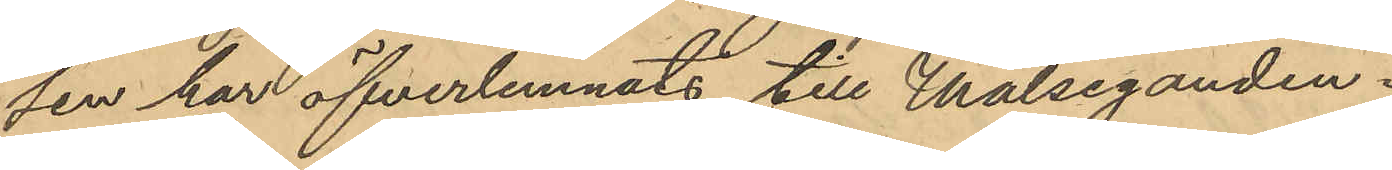sen har öfverlemnats till Målseganden.
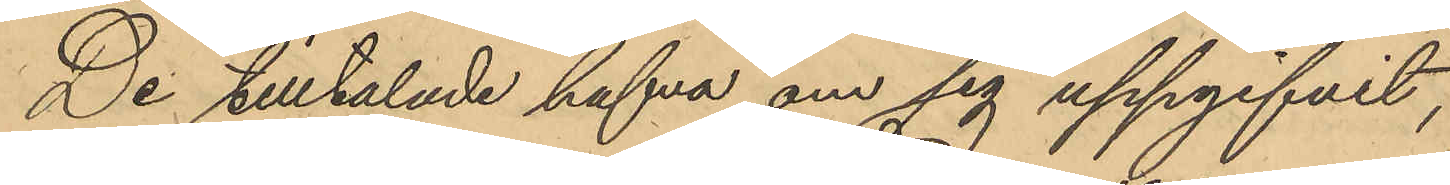De tilltalade hafva om sig uppgifvit,
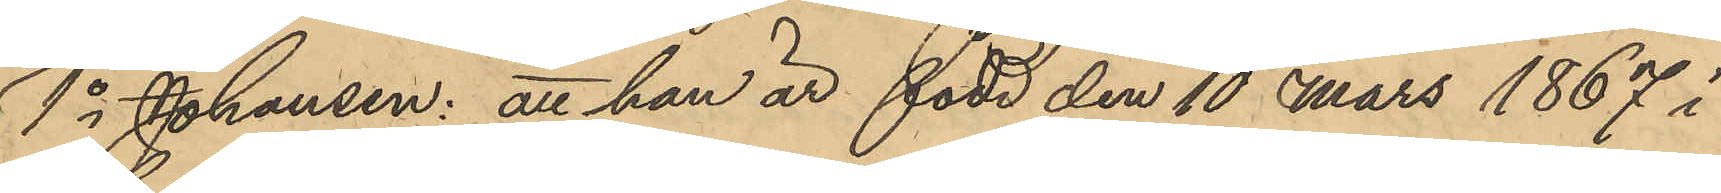1o Johansen: att han är född den 10 Mars 1867 i
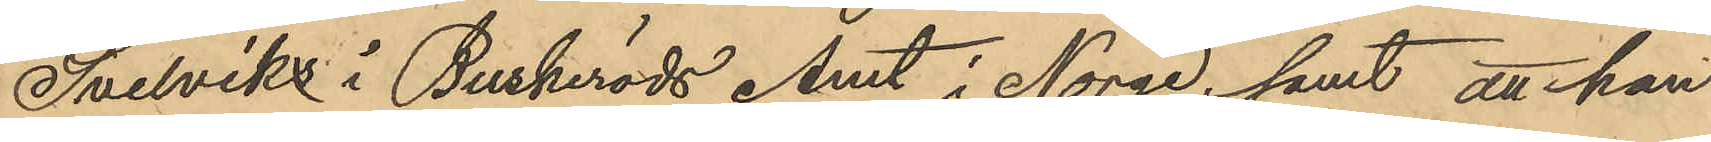Svelviks i Buskeröds Amt i Norge; samt att han
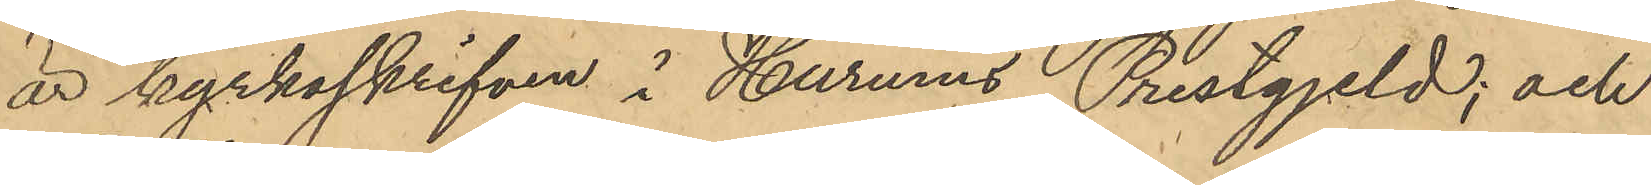är kyrkoskrifven i Hurums Prestgjeld; och
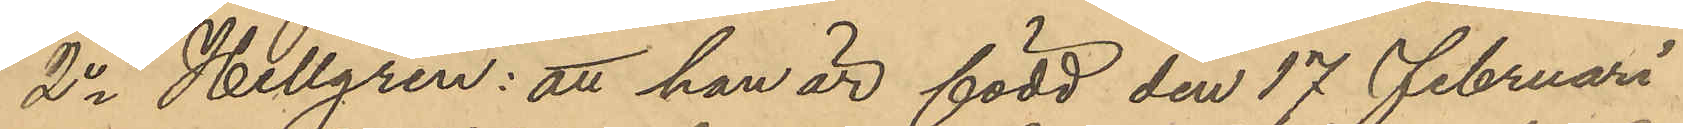2o Hellgren: att han är född den 17 Februari
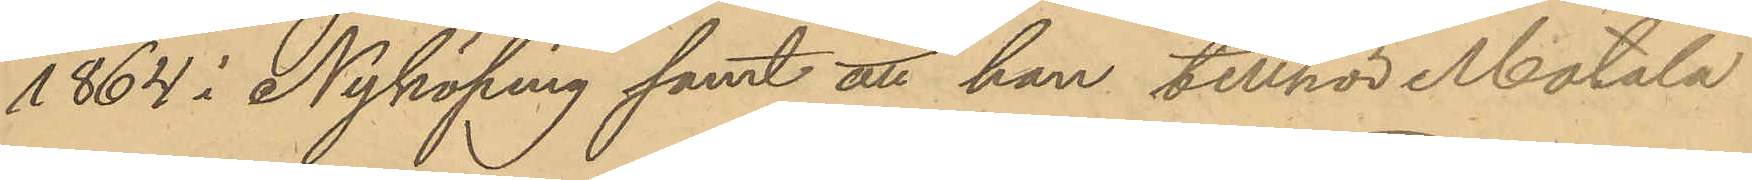1864 i Nyköping samt att han tillhör Motala
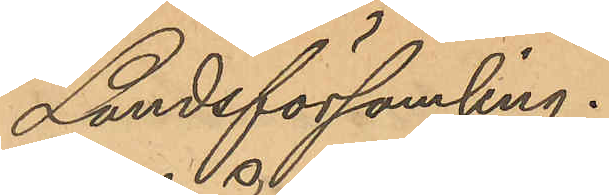Landsförsamling.
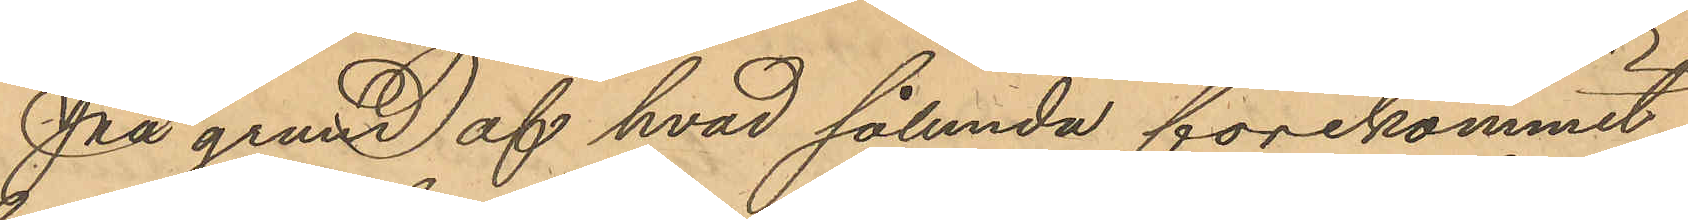På grund af hvad sålunda förekommit
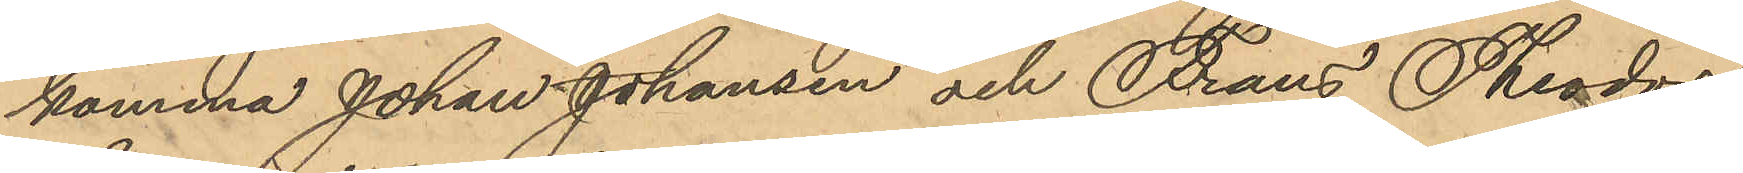komma Johan Johansen och Frans Theodor
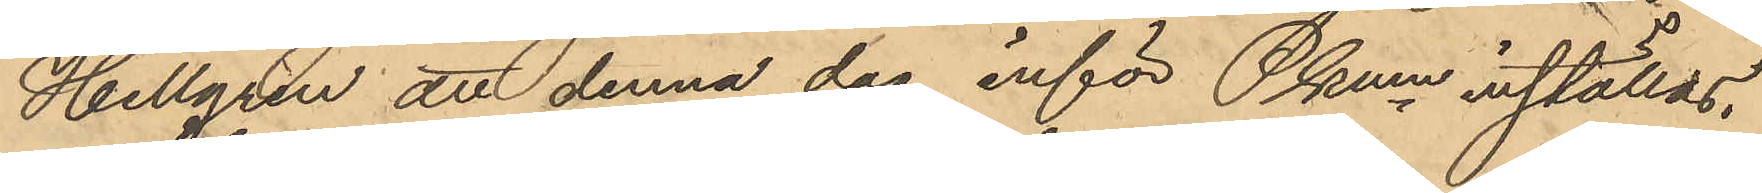Hellgren att denna dag inför Pkmn inställas.
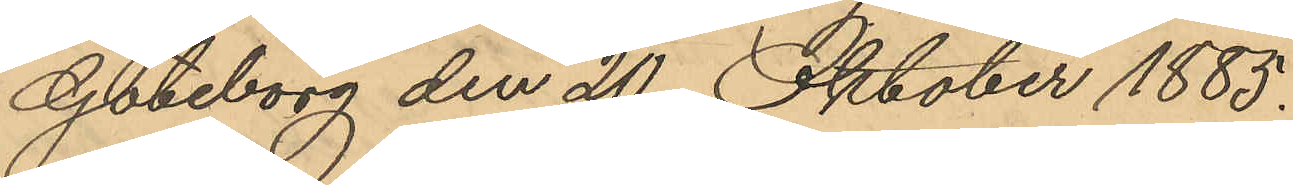Göteborg den 20 Oktober 1885.
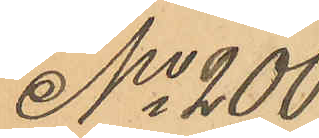No 200
